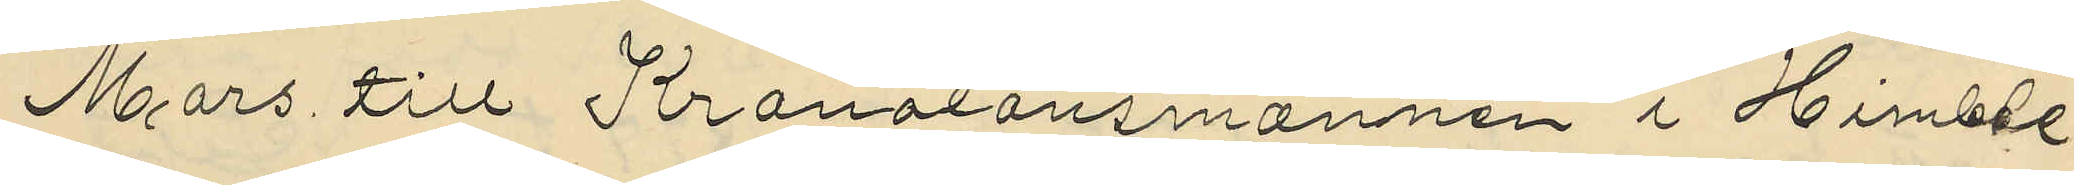Mars till Kronolonsmannen i Himble
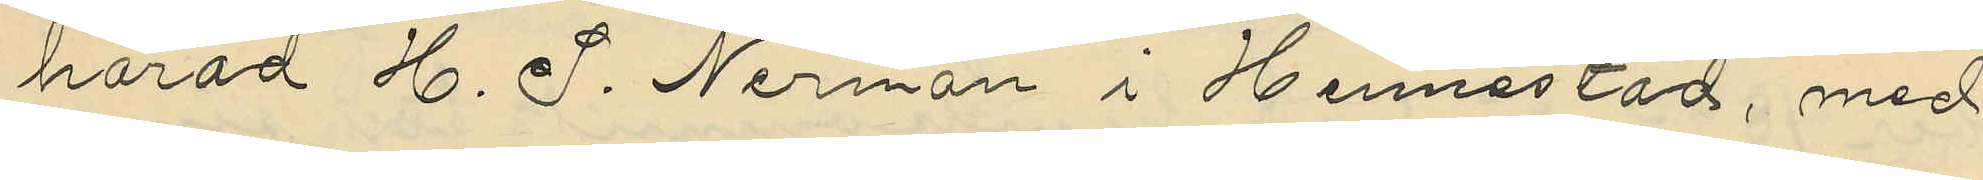härad H. J. Nerman i Hennestad, med
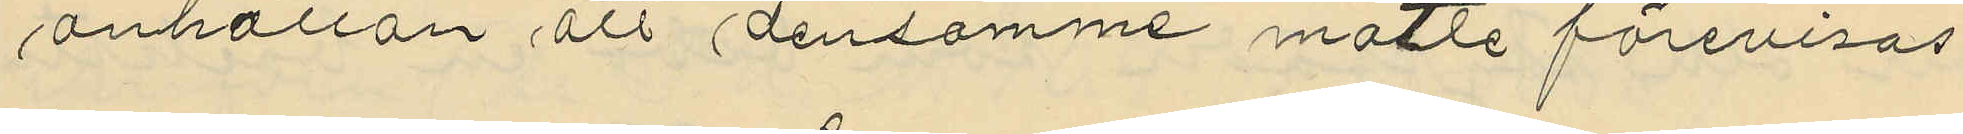anhållan att densamme mötte förevisas
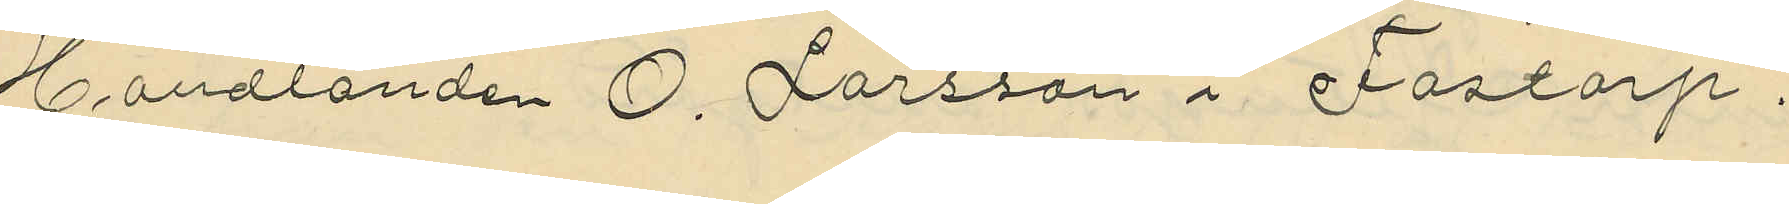Handlanden O. Larsson i Fastorp.
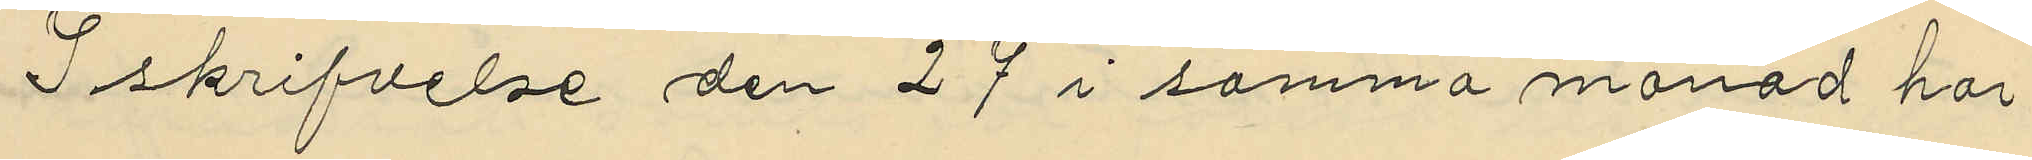I skrifvelse den 27 i samma månad har
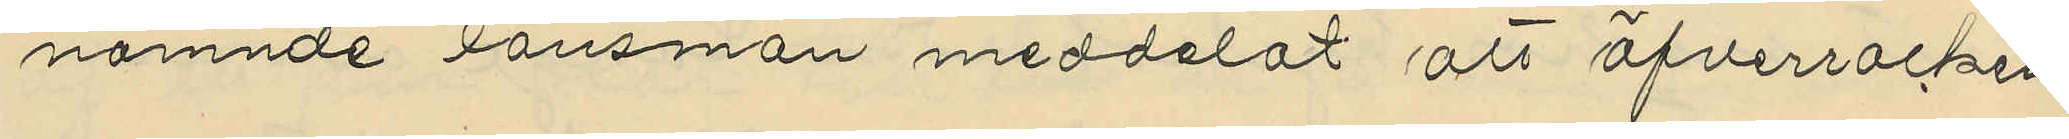nämnde länsman meddelat att Öfverrocken
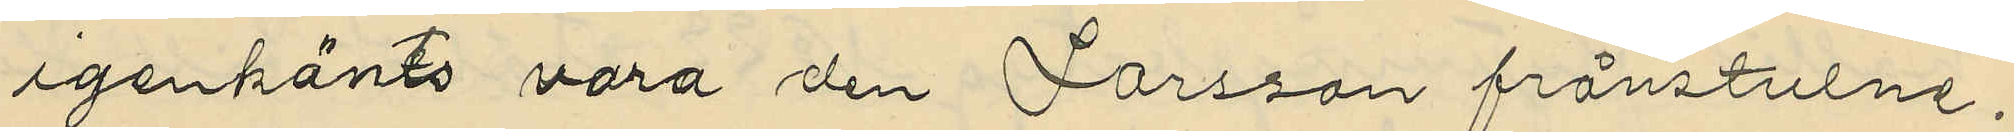igenkänts vara den Larsson frånstulne.
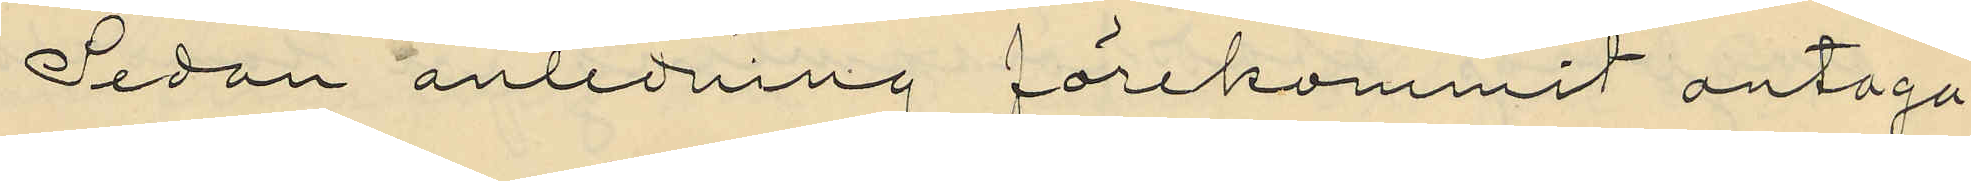Sedan anledning förekommit antaga
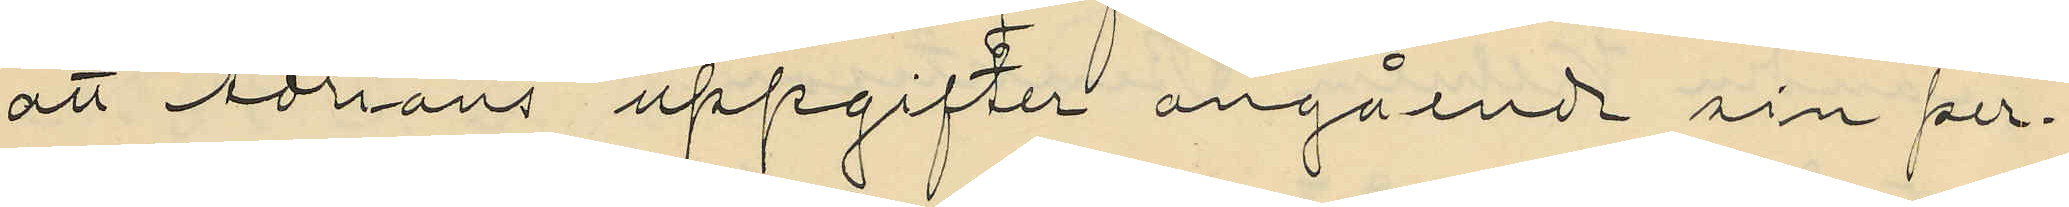att Adrians uppgifter angående sin per¬
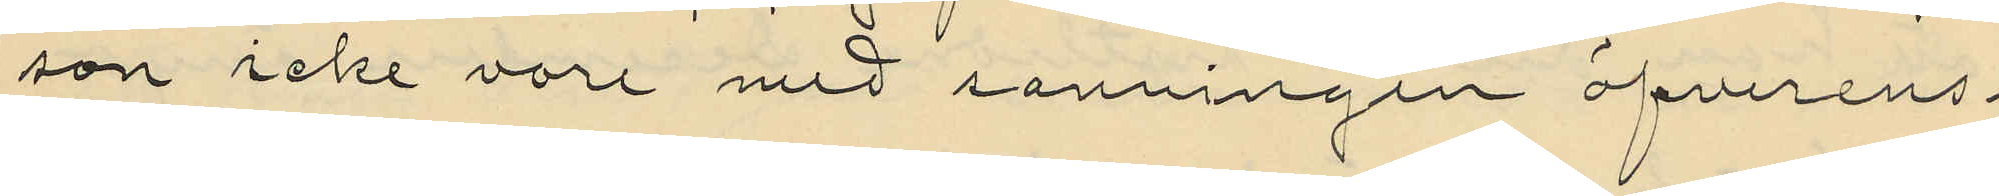son icke vore med sanningen öfverens¬
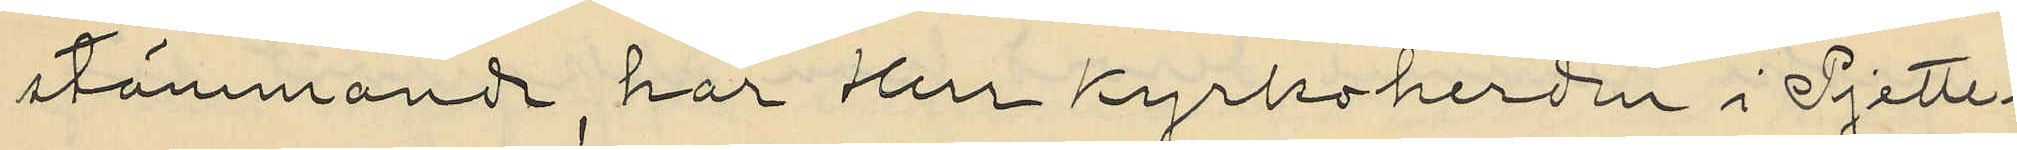stämmande, har Herr Kyrkoherden i Pjette¬
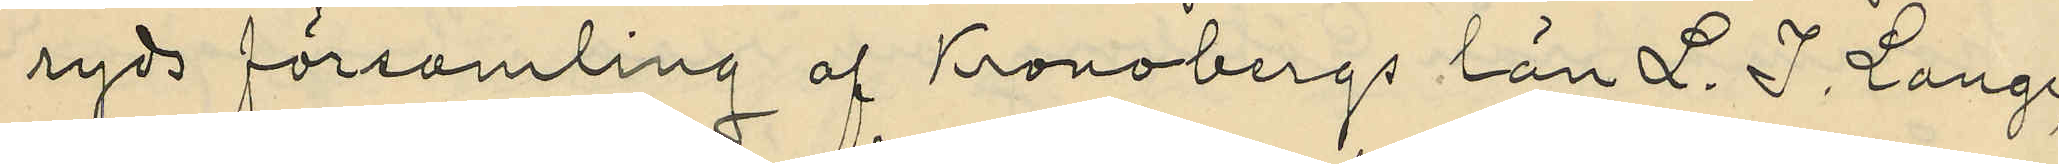ryds församling af Kronobergs län L. I. Lange
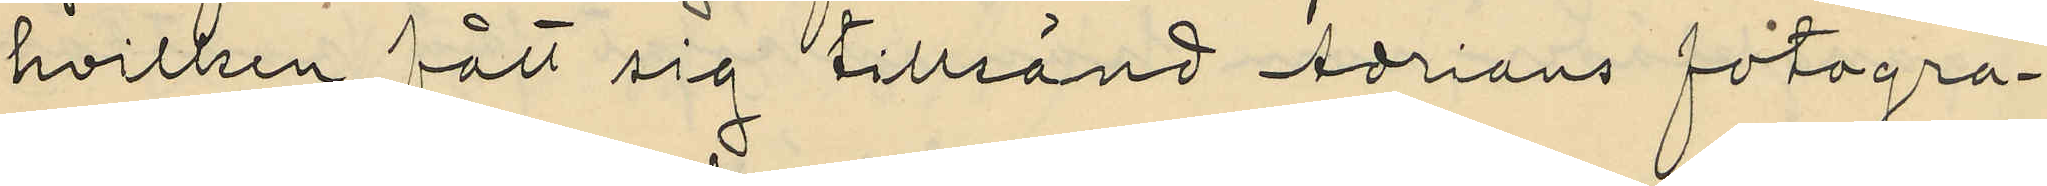hvilken fått sig tillsänd Adrians fotogra¬
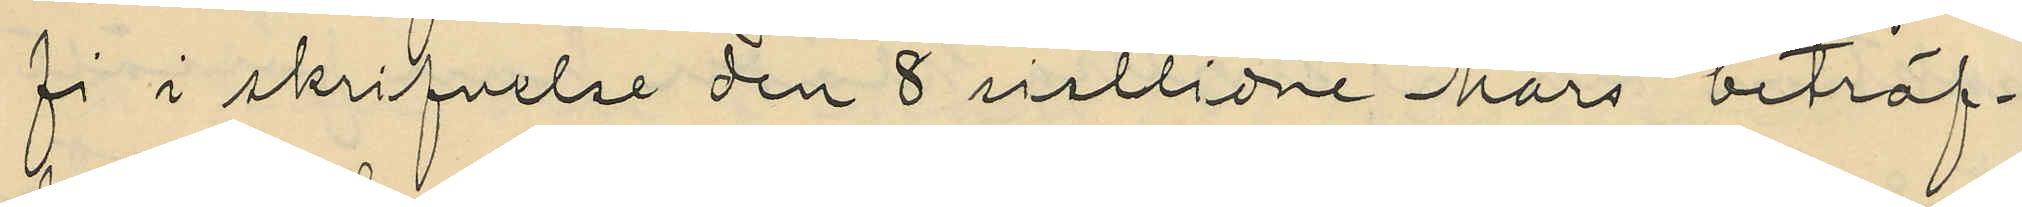fi i skrifvelse den 8 sistlidne Mars beträf¬
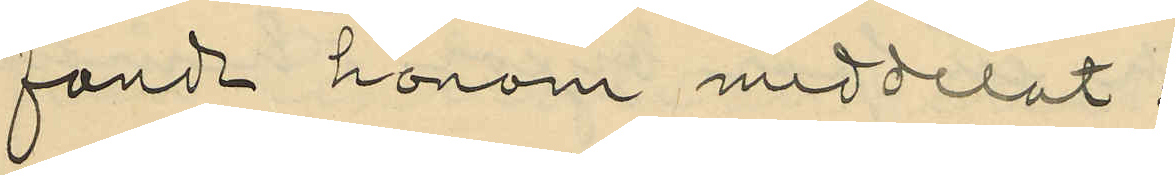fände honom meddelat:
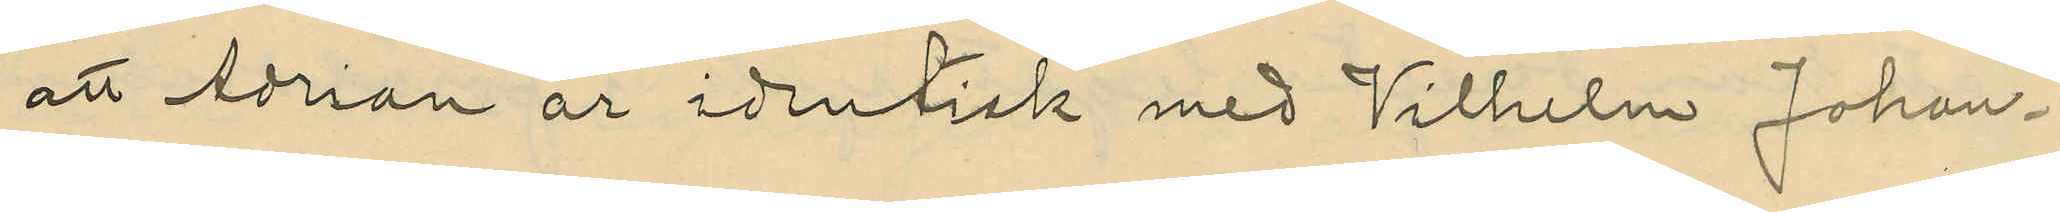att Adrian är identisk med Vilhelm Johan¬
